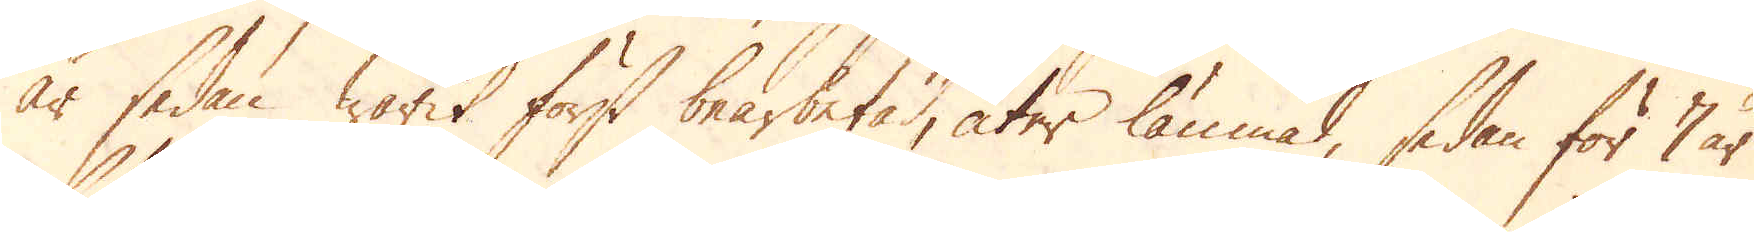år sedan warit först bearbetad, åter lämnad, sedan för 7 år
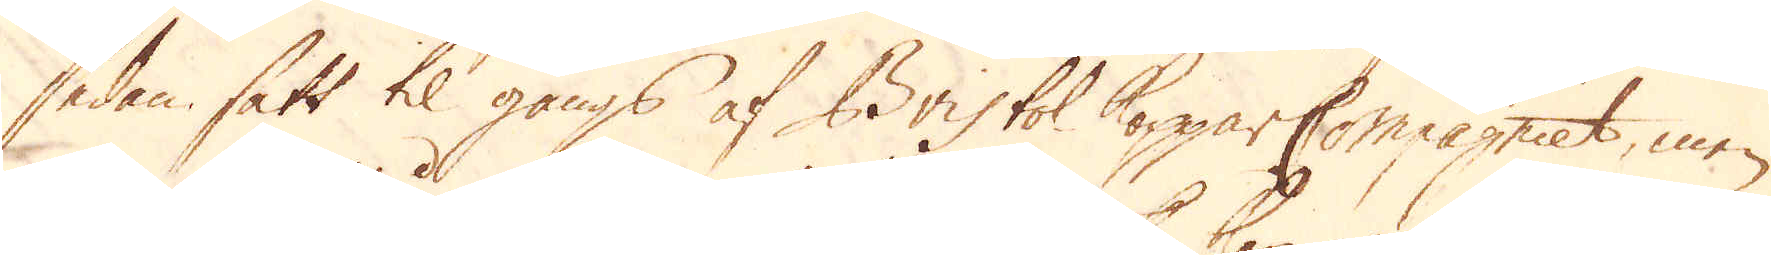sedan sätt til gångs af Bristol Koppar Compagniet, men
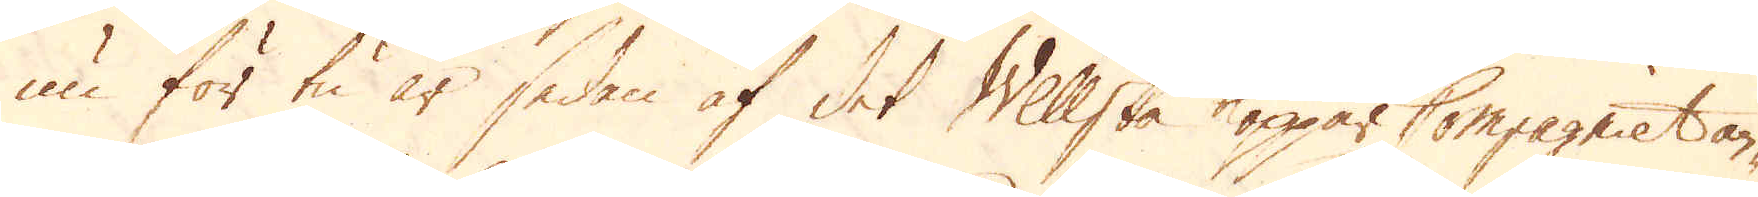nu för tu år sedan af det Willske koppar Compagniet an-
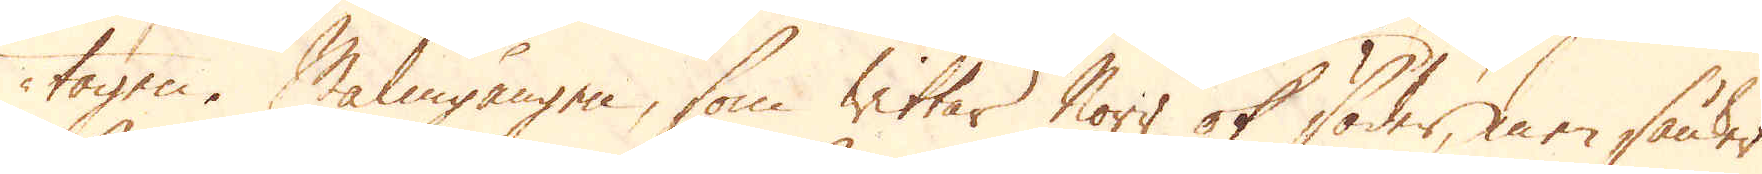tagen. Malmgången, som wittar Norr ok söder, men sänker
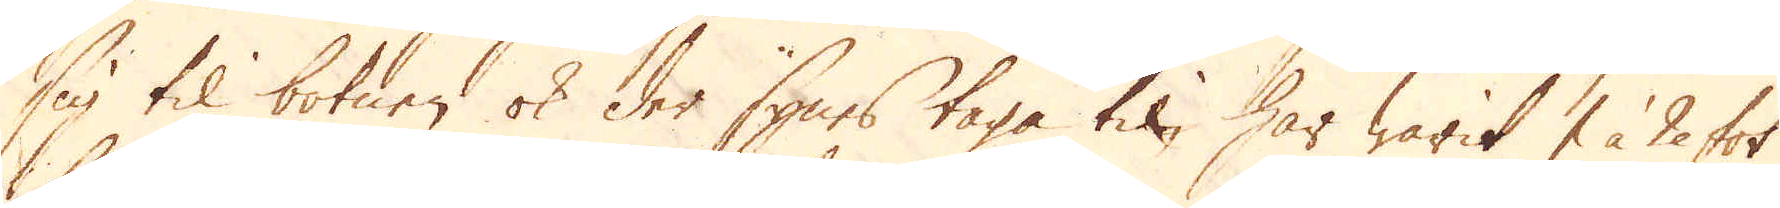sig til botnen ok der synes taga til, har warit 1 à 2 fot
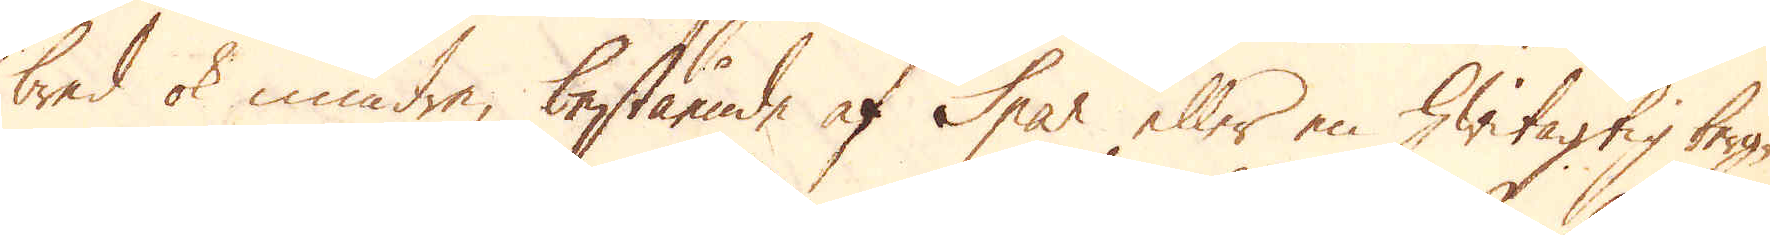bred ok mindre, bestående af Spar eller en hwitagtig berg-
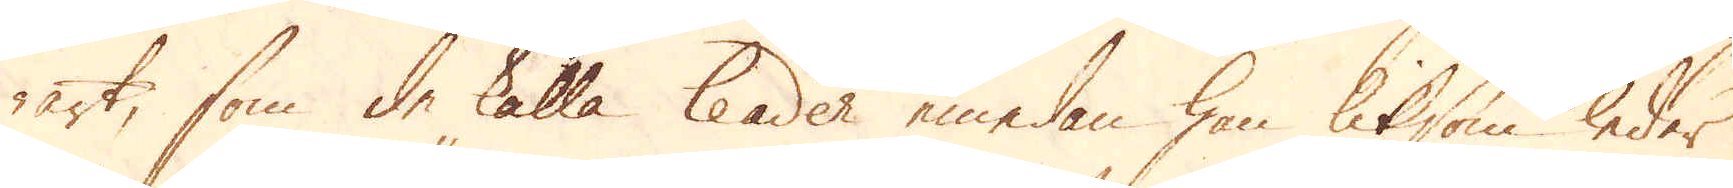art, som de kalla leader emedan han liksom leder
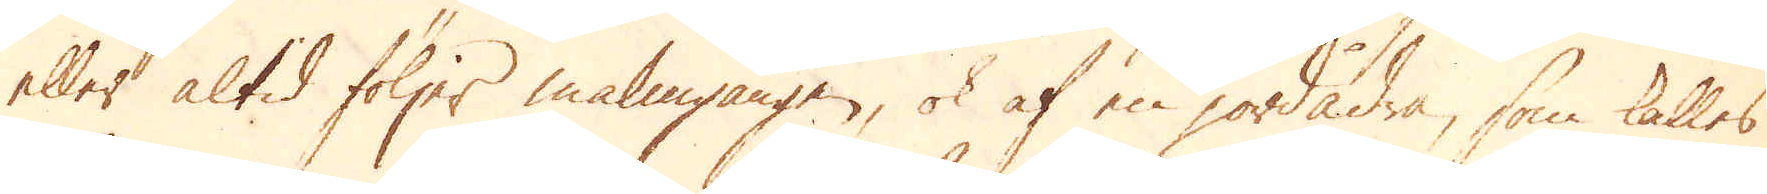eller altid följer malmgången, ok af en jordådra, som kallas
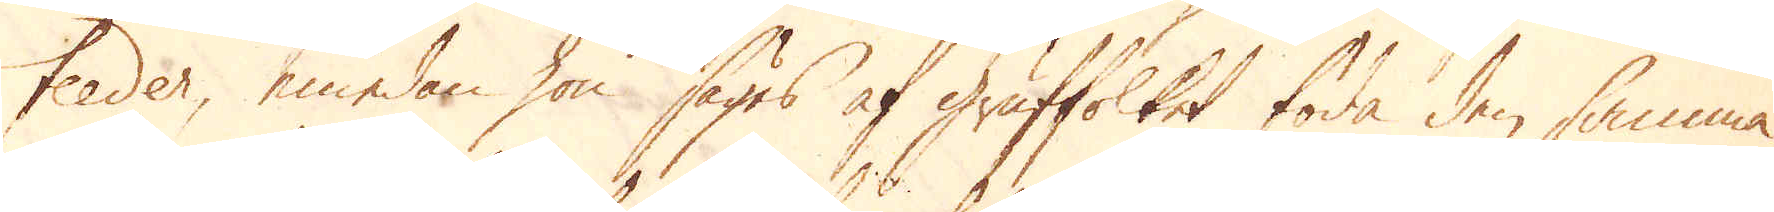feeder, emedan hon säges af gruffolket föda den samma.
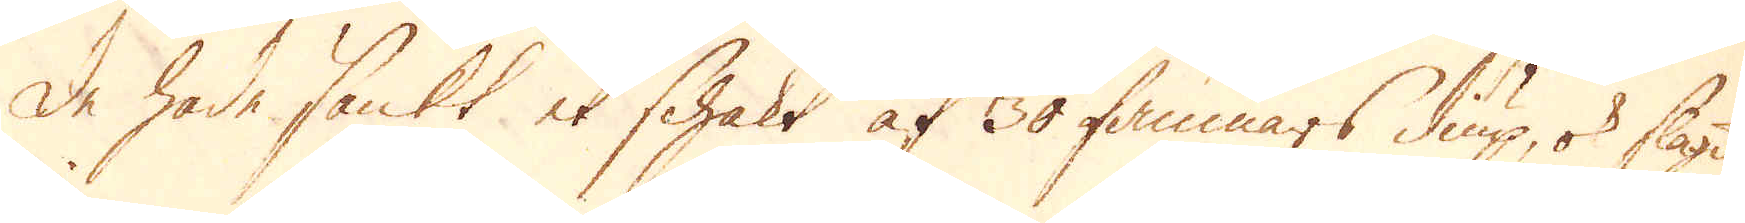De hade sänkt et schakt af 30 famnars diup, ok slagit
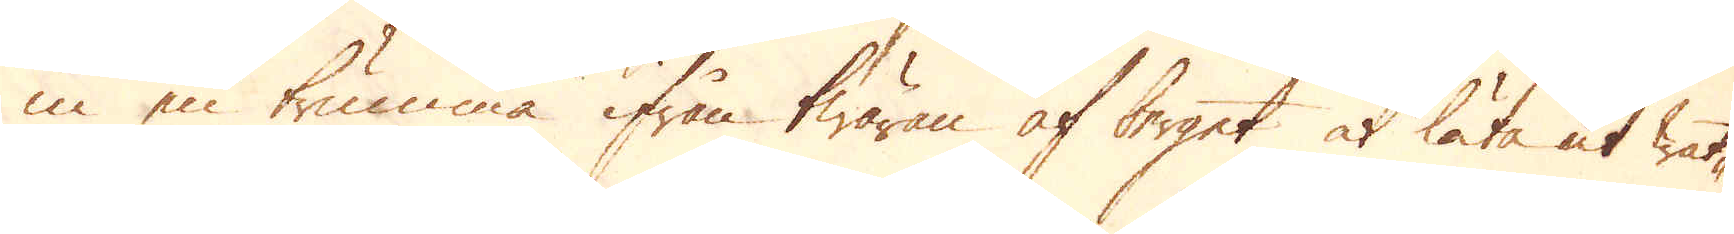in en trumma ifrån twäran af berget, at låta ut wat-
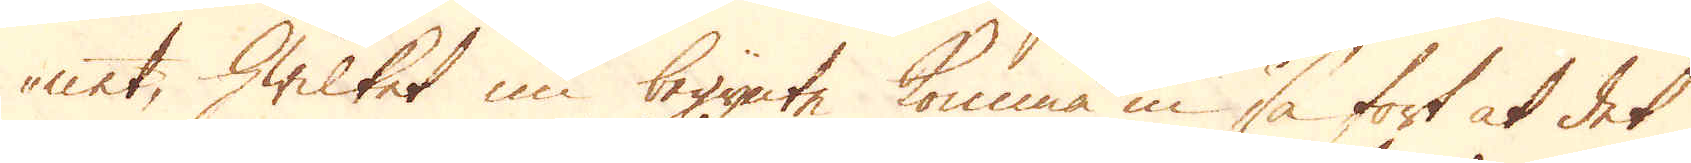net, hwilket nu begynte komma in så fort at det
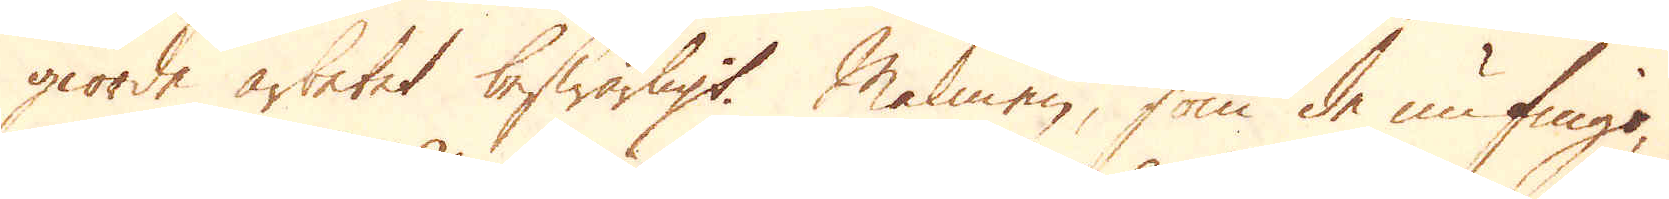giorde arbetet beswärligt. Malmen, som de nu fingo,
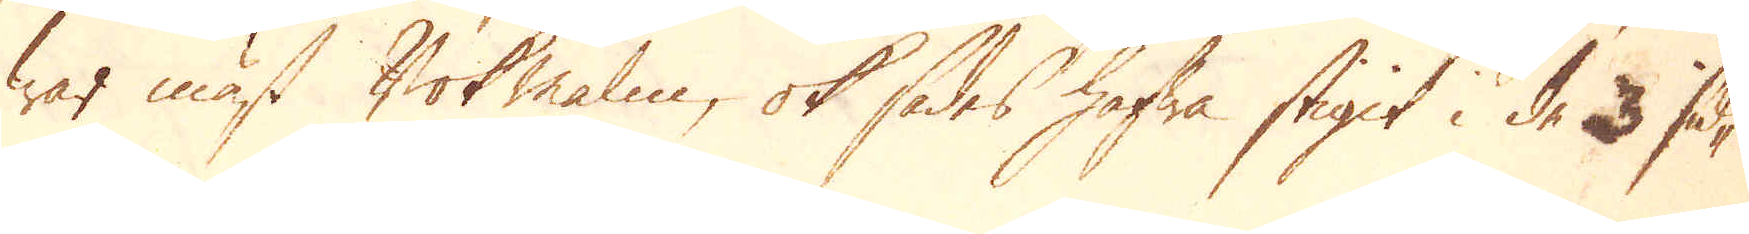war mäst Bok malm, ok sades hafwa stigit i de 3 sid-
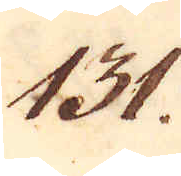131.
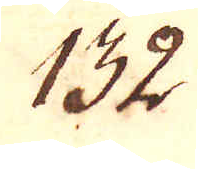132.
